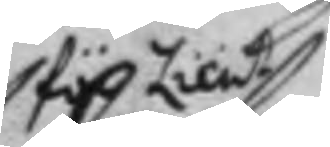för Lieut.
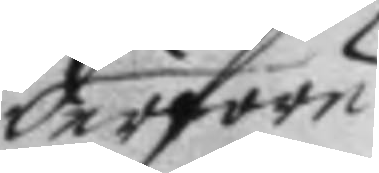derföre
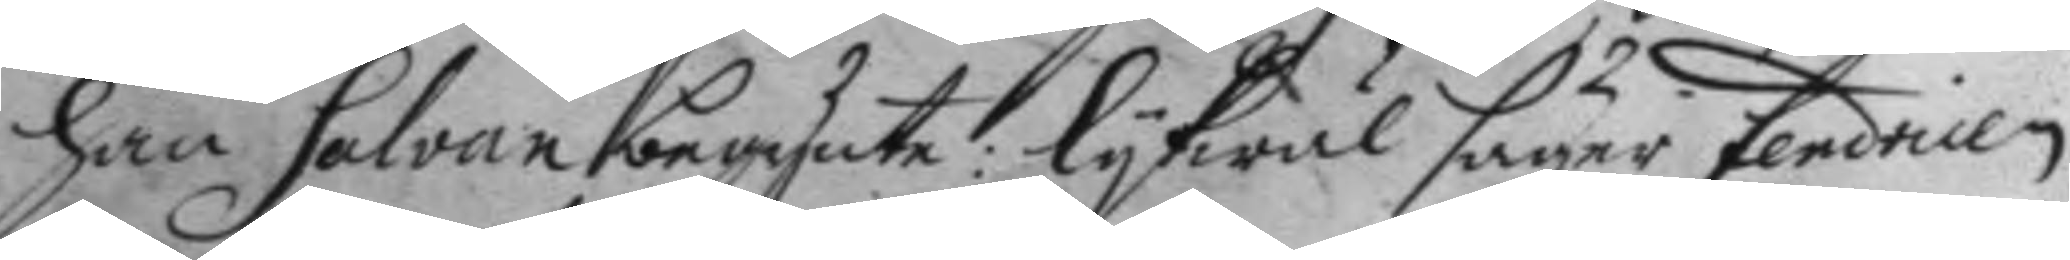han Salvan begynte: lykwäl säger fendricen
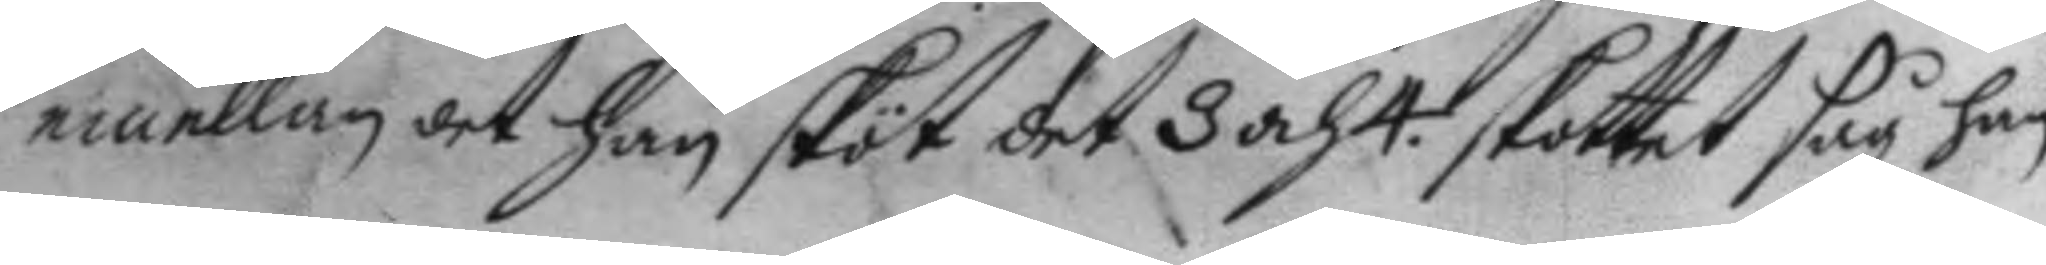emellan det han sköt det 3 och 4. skottet såg han
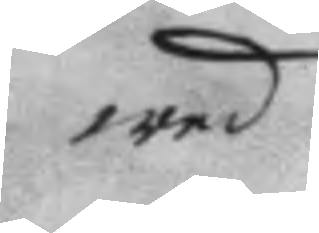wed
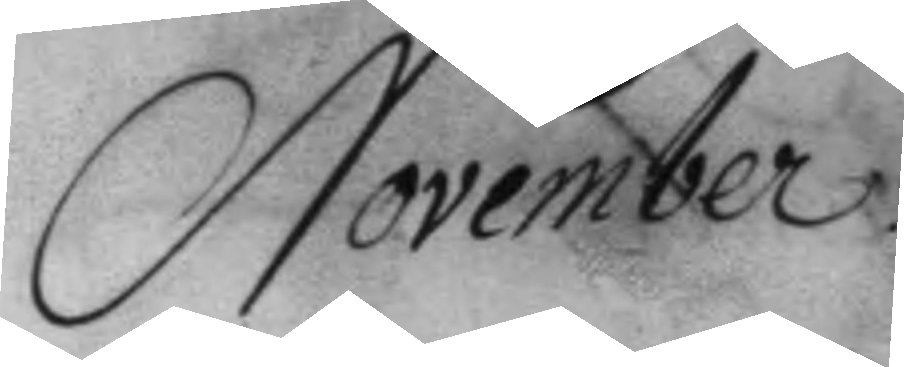November.
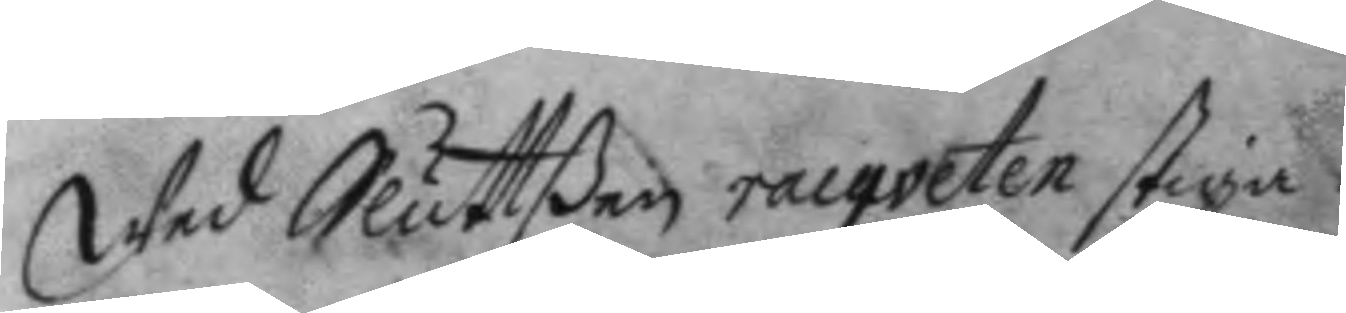wed Sluttßen racqveter stiga.
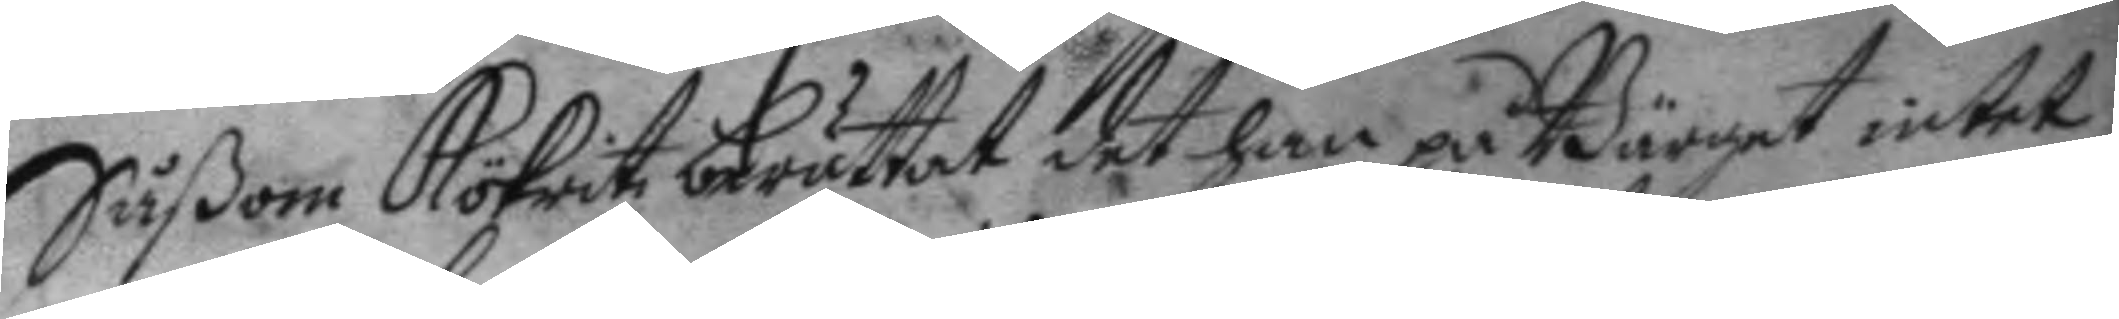Såsom Kökritz berättat det han på Bärget intet
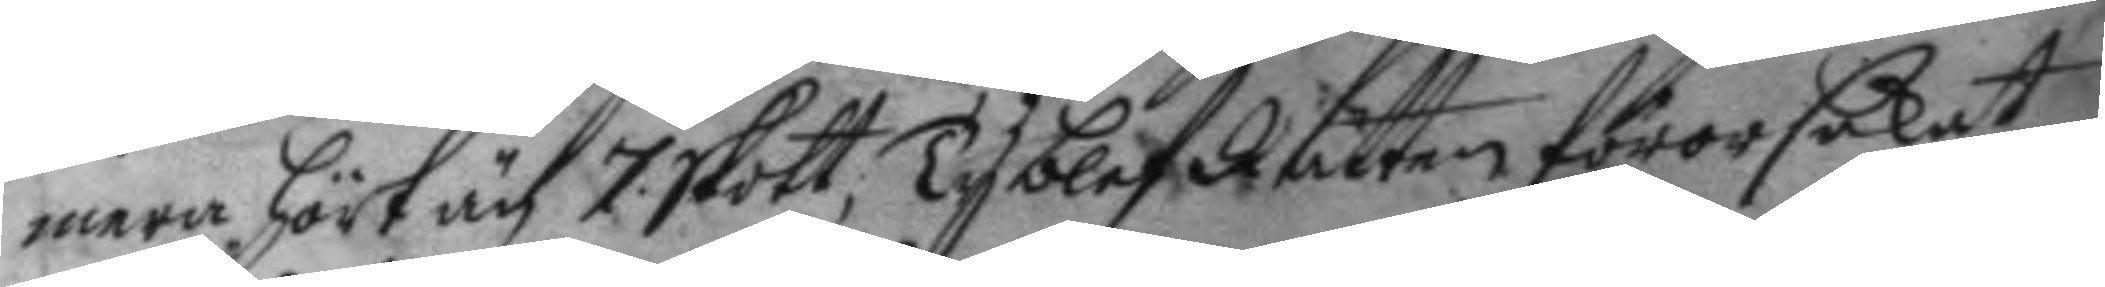mera hört än 7 skott, Ty blef Rätten förorsakat
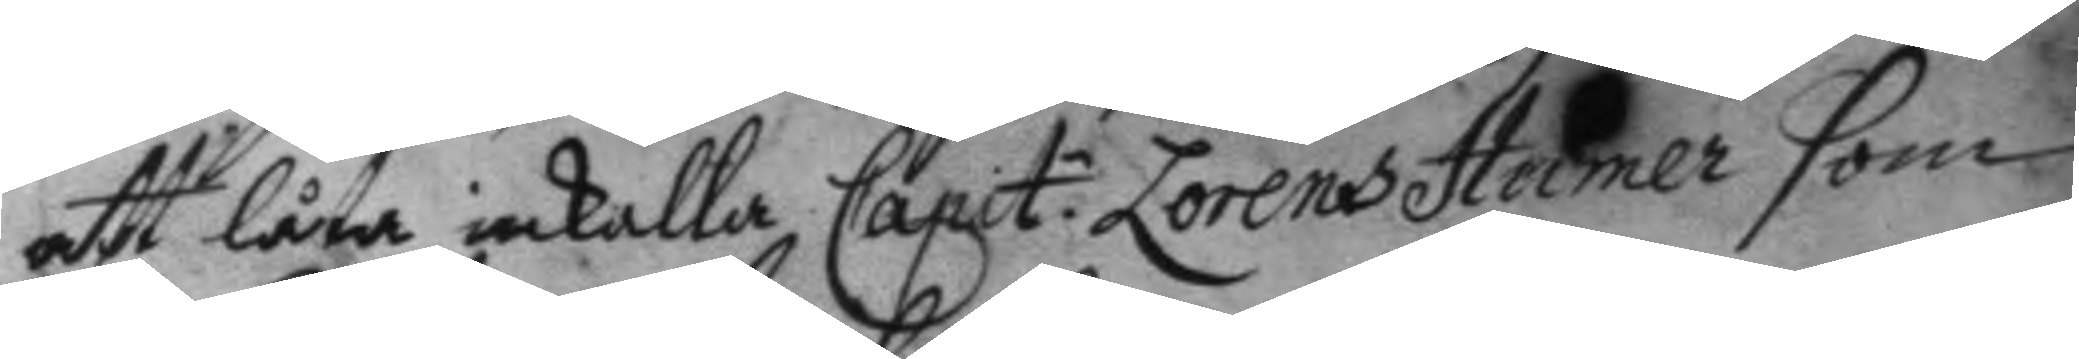att låta inkalla Capit.n Lorens Humer som
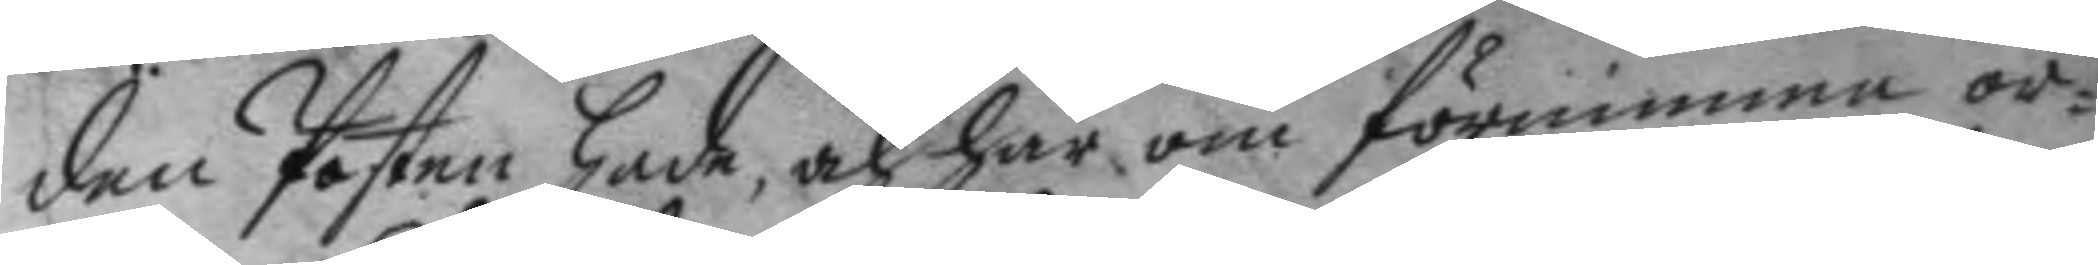den Posten hade, och här om förnimma or¬
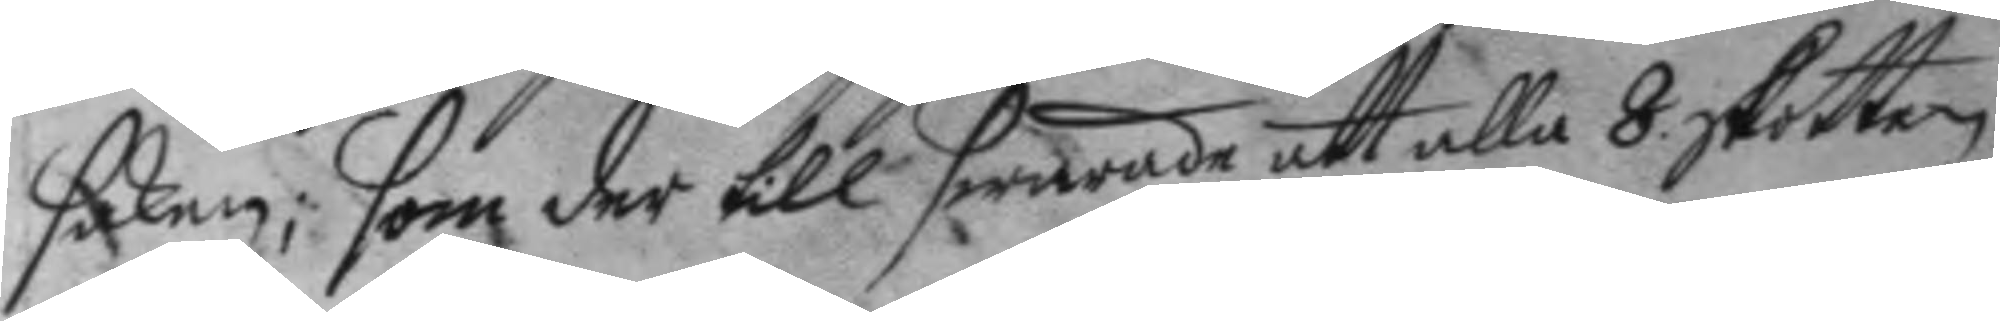saken; som der till swarade att alla 8 skotten
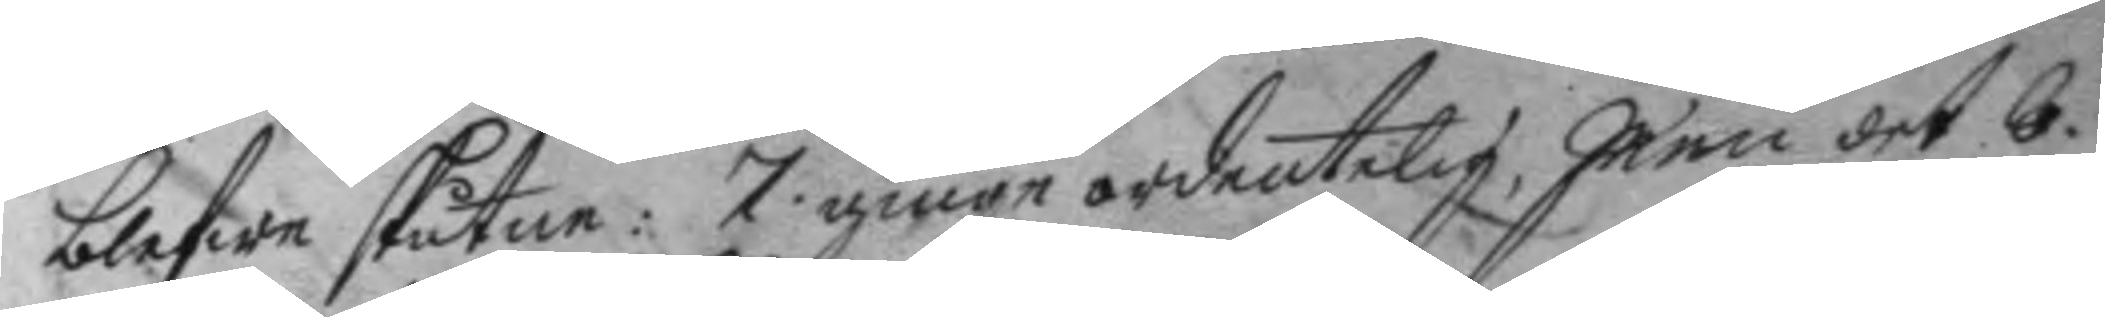blefwe skutne: 7 ginge ordentelig, men det 8.
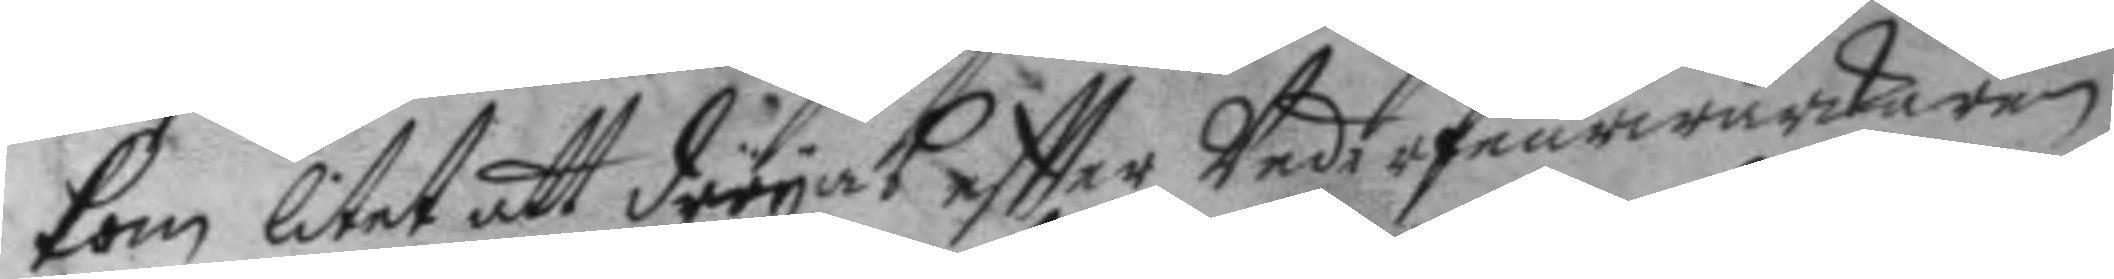kom litet att dröya eftter Underfeurwärkaren
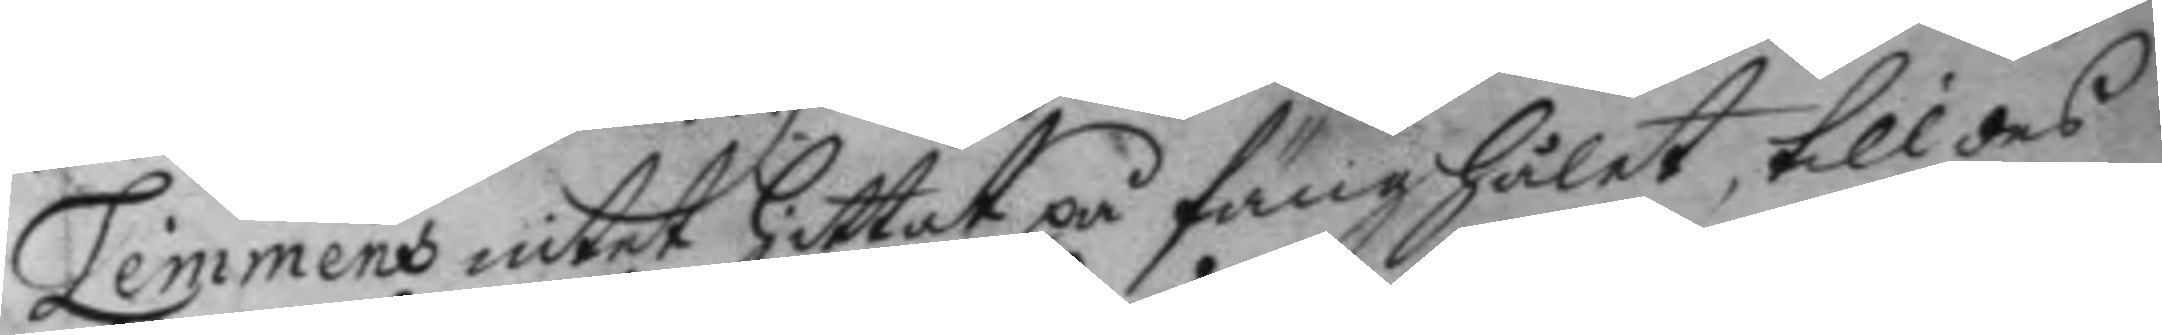Lemmens intet hittat på fånghålet, till des
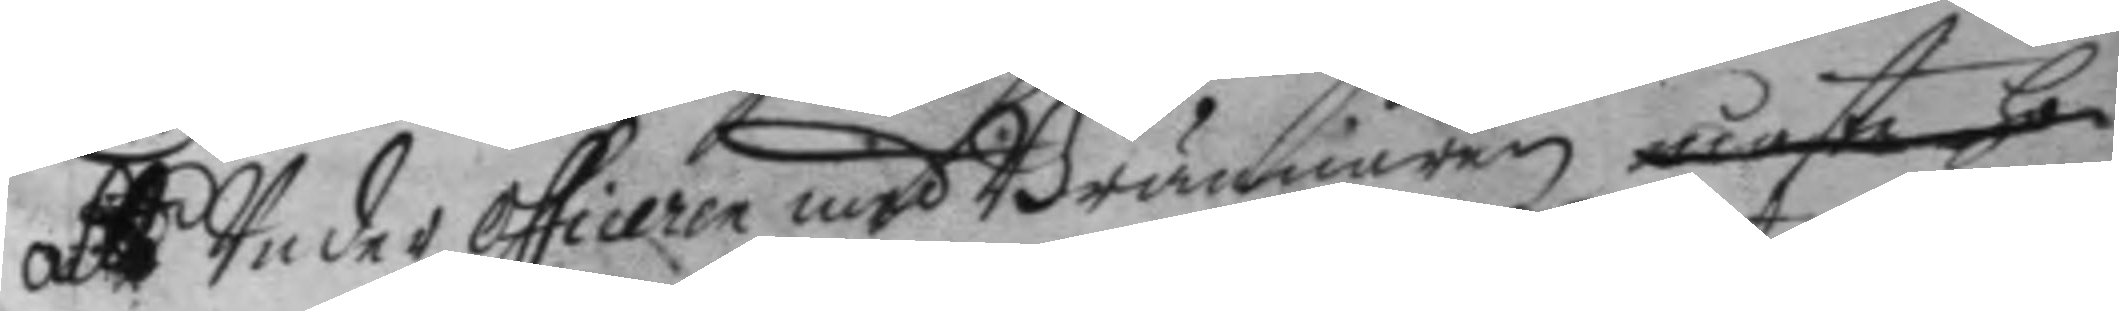att Under officeren med Brännaren måste ho¬
